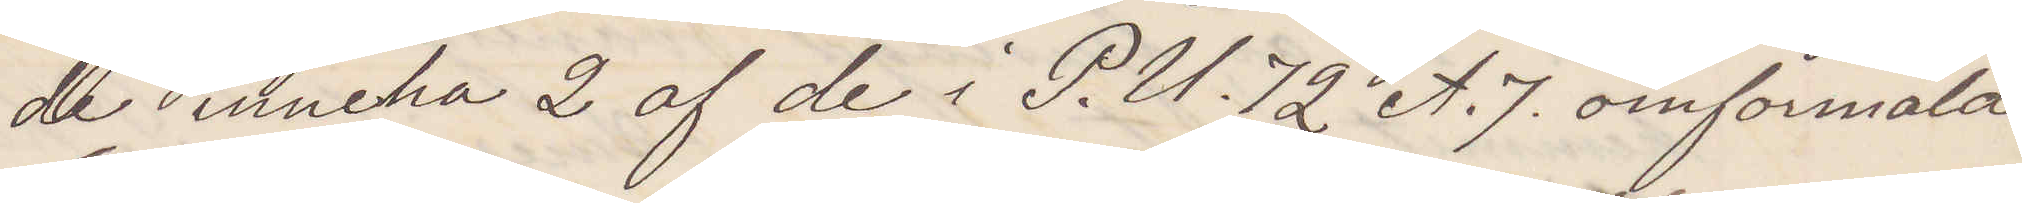de inneha 2 af de i P. U. 72 A. 7. omformälde
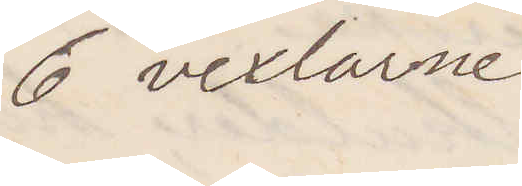6 vexlarne
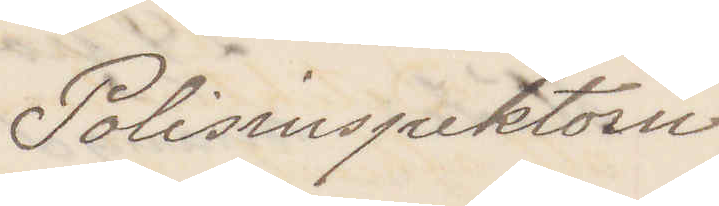Polisinspektorn
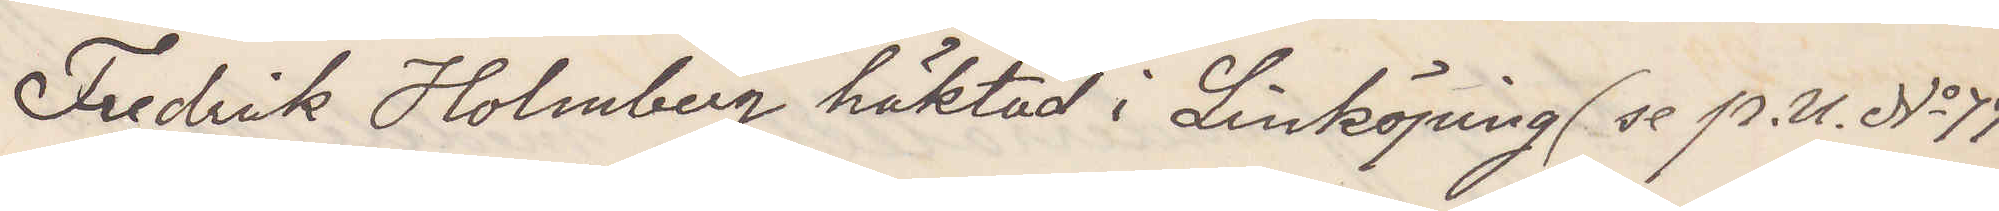Fredrik Holmberg häktad i Linköping (se P. U. No 77
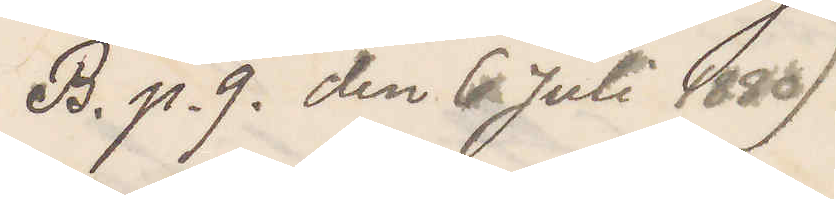B. p. 9 den 6 Juli 1880)
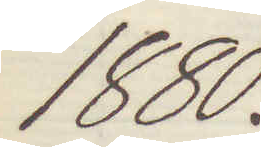1880.
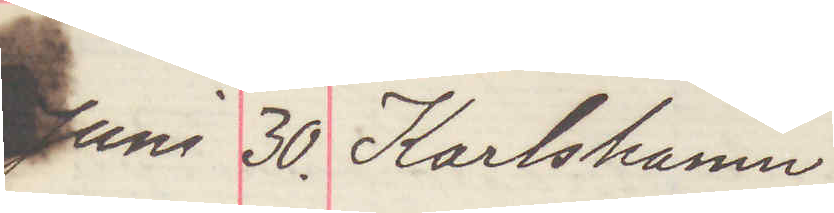Juni 30. Karlshamn
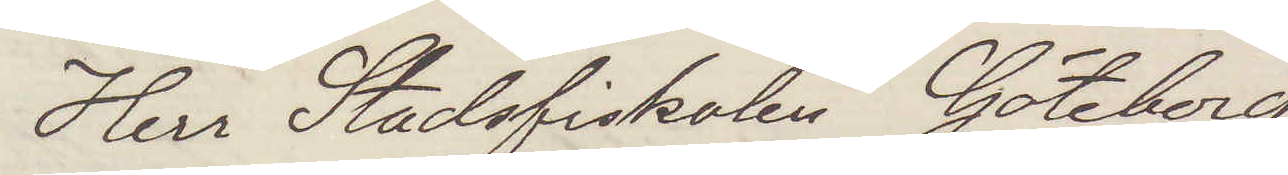Herr Stadsfiskalen Göteborg
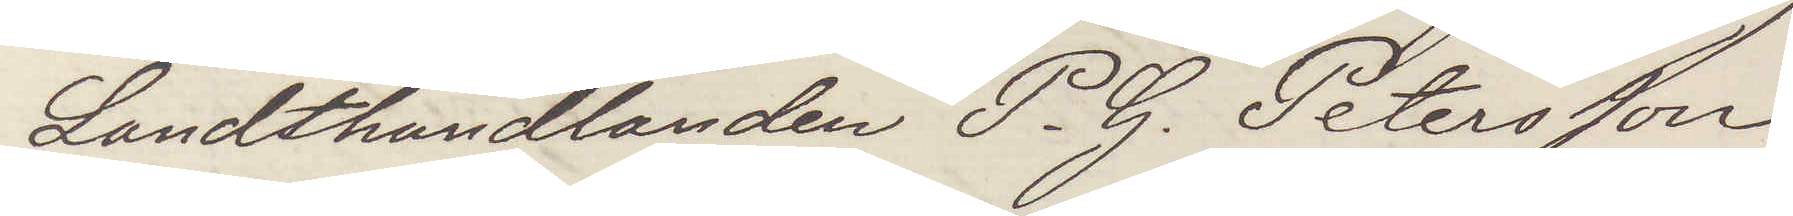Landthandlanden P. G. Petersson
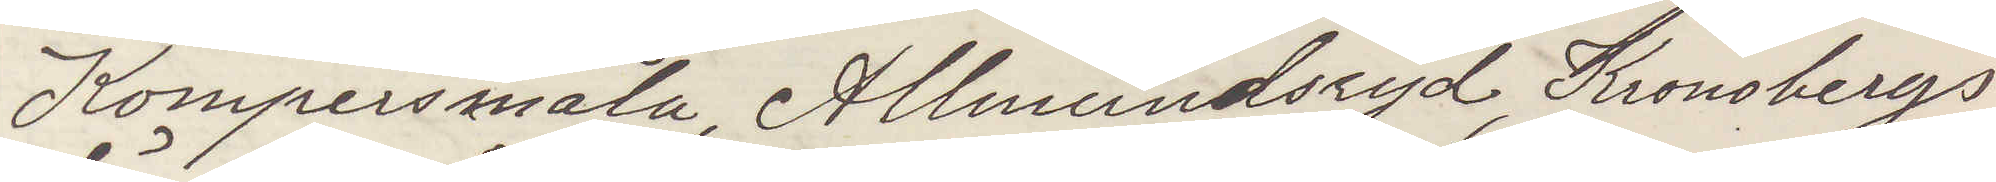Kompersmåla Allmundsryd Kronobergs
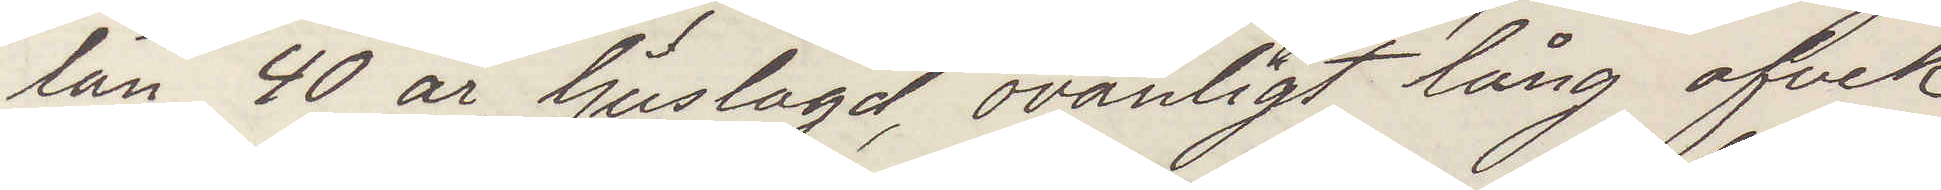län 40 år, ljuslagd ovanligt lång afvek
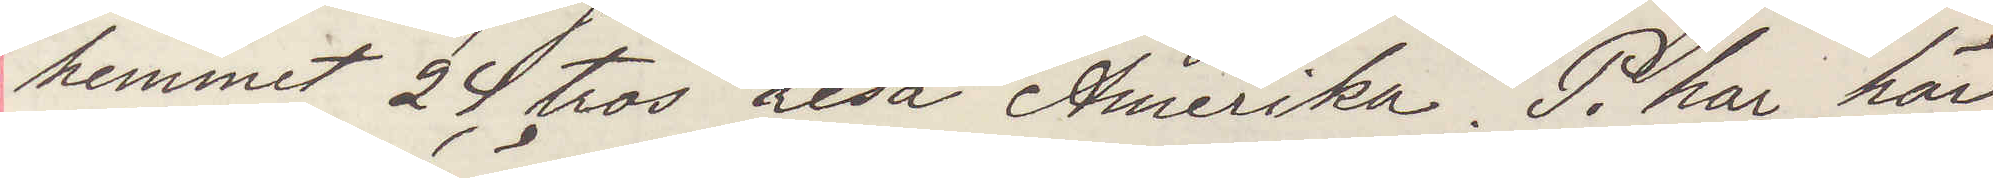hemmet 24 tros resa Amerika. P. har här¬
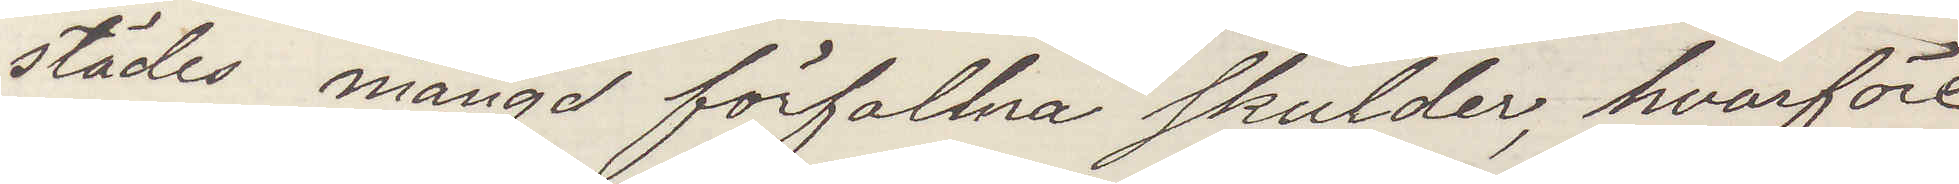städes mängd förfallna slulder, hvarföre
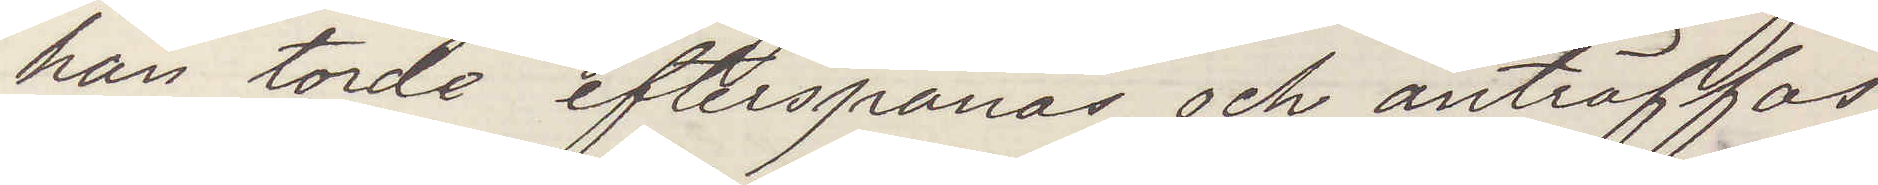han torde efterspanas och anträffas
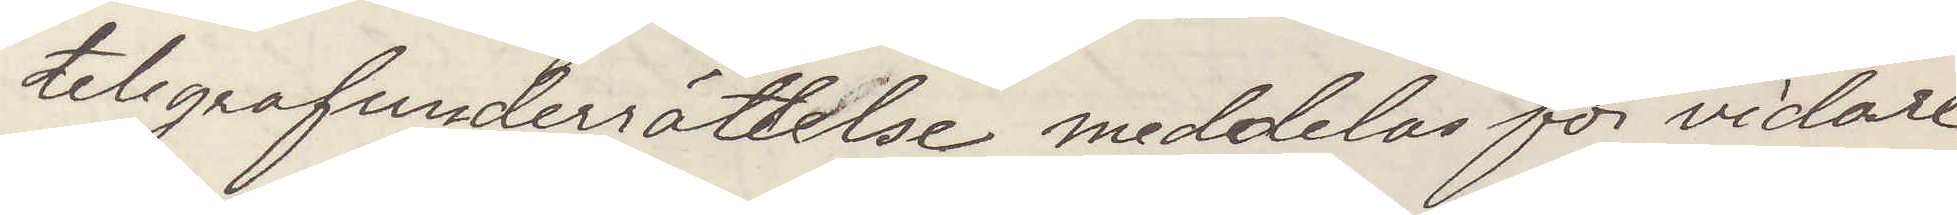telegrafunderrättelse meddelas för vidare
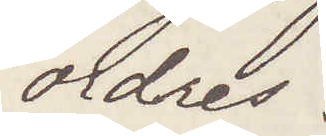ordres.
